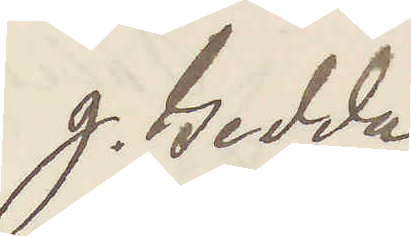g. Gedda
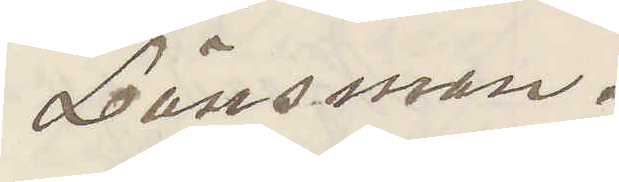Länsman.
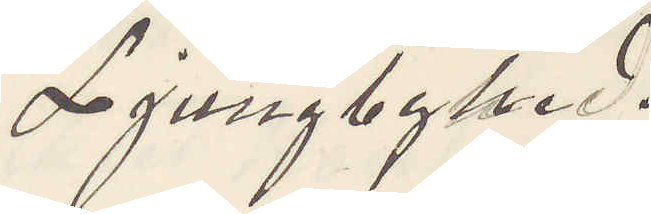Ljungbyhed.
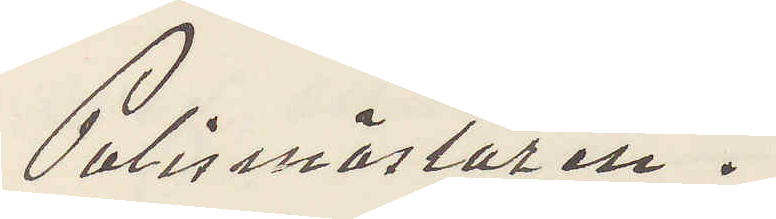Polismästaren.
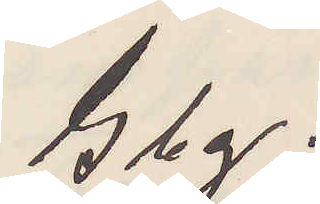Gbg.
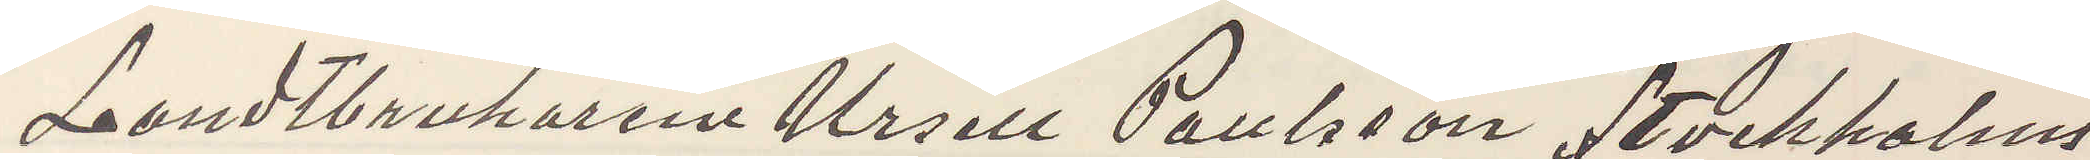Landtbrukaren Ursell Paulsson Stockholms
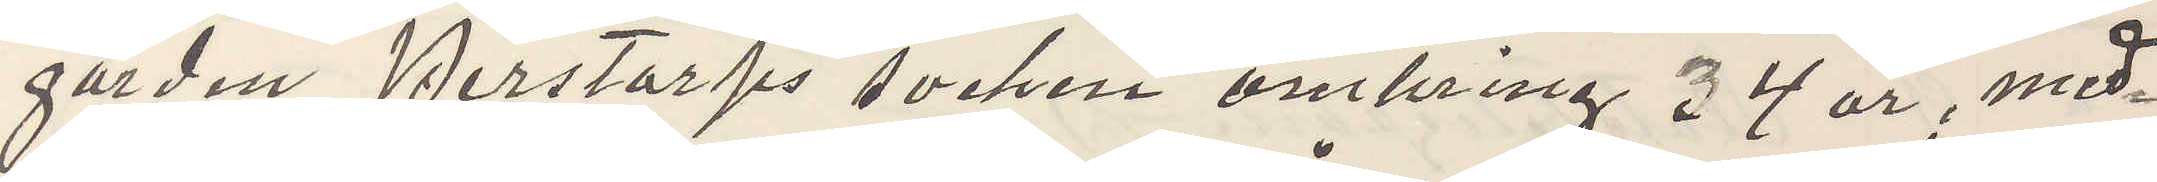gården Perstorps socken omkring 34 år, med¬
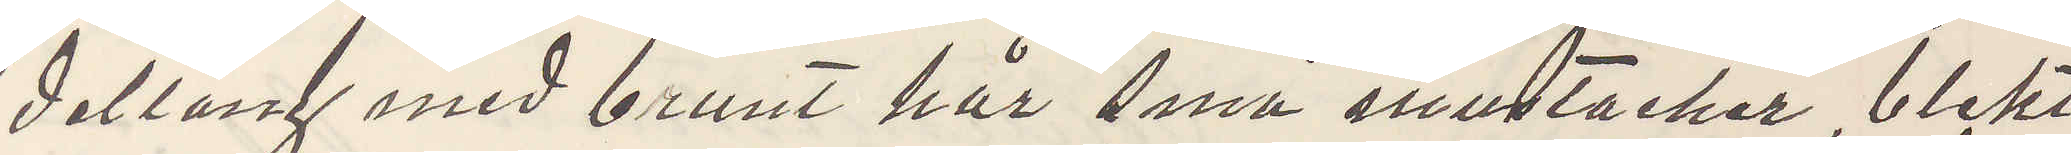dellång med brunt hår små mustacher, blekt
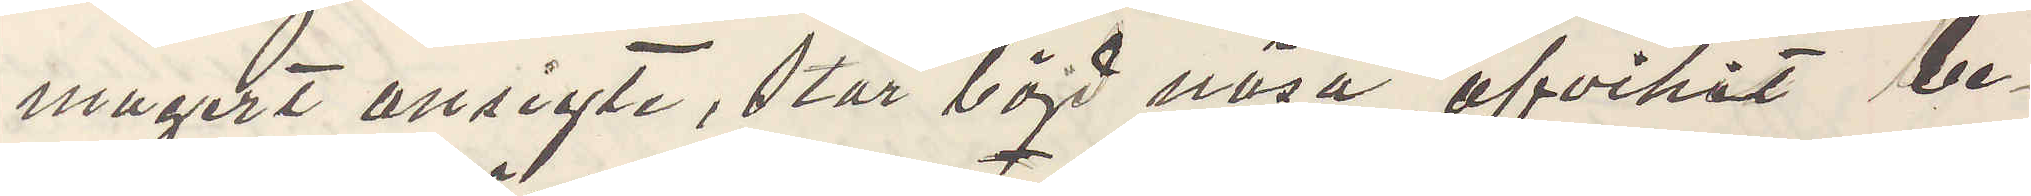magert ansigte, stor böjd näsa, afvikit be¬
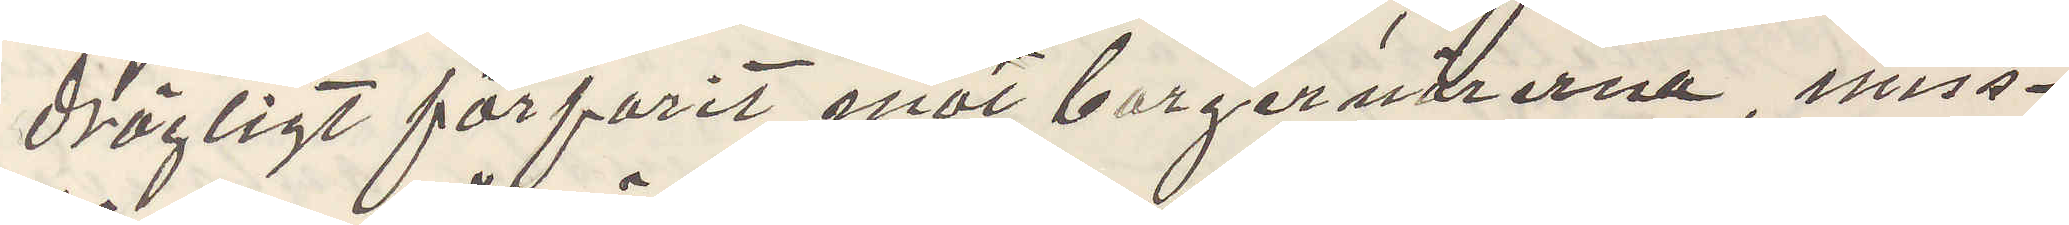drägligt förfarit mot borgenärerna, miss¬
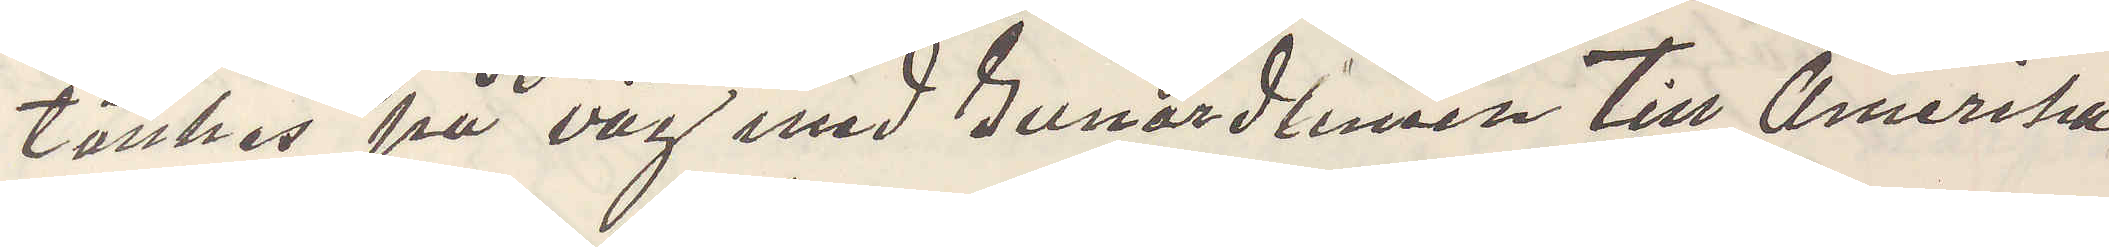tänkes på väg med Cunardlinien till Amerika
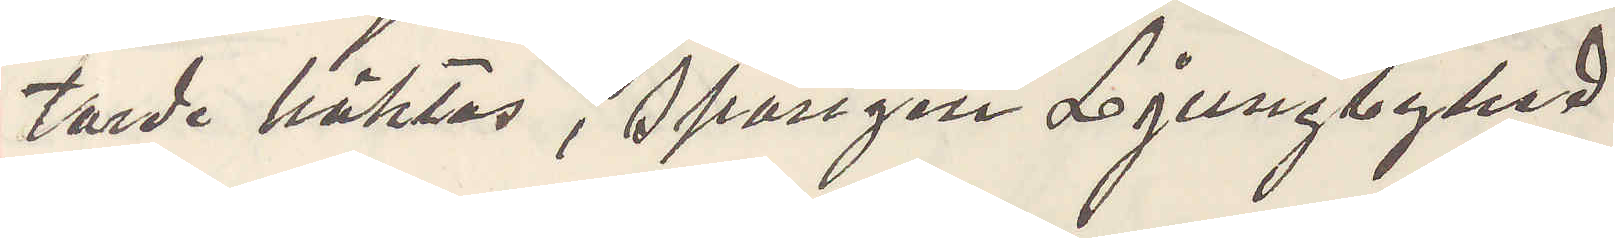torde häktas, Spången Ljungbyhed
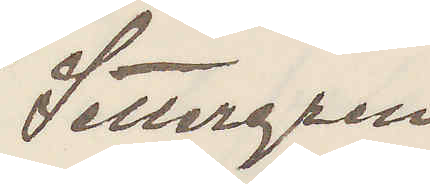Settergen
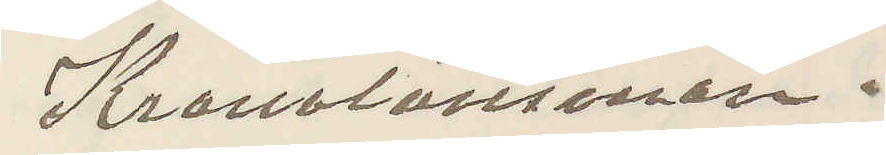Kronolänsman.
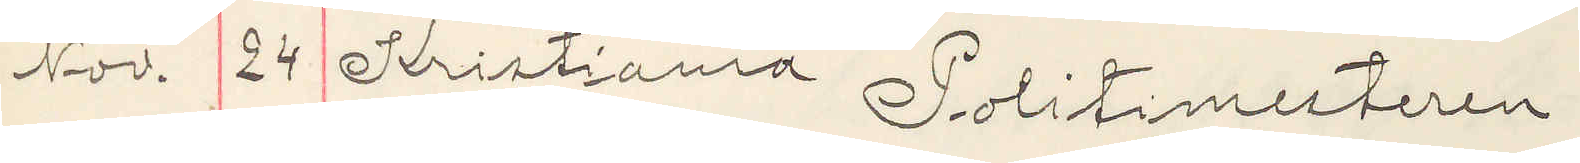Nov. 24 Kristiania  Politimesteren
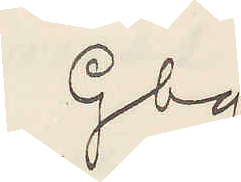Gbg.
